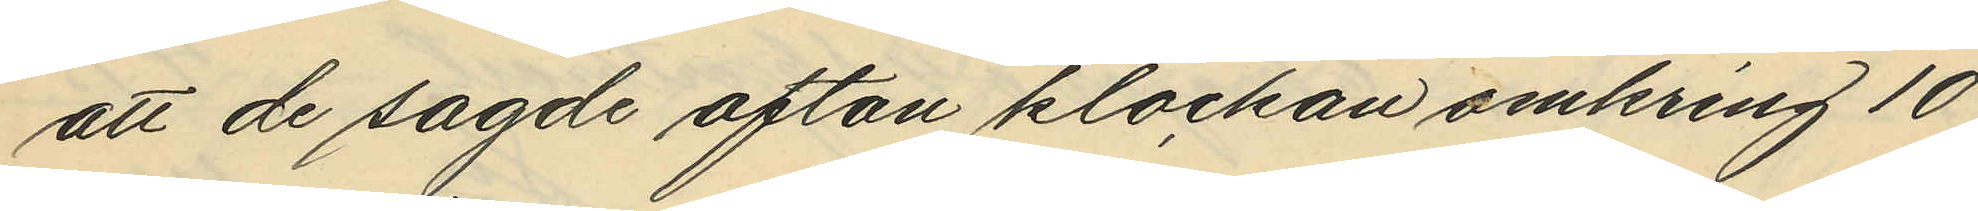att de sagde afton klockan omkring 10
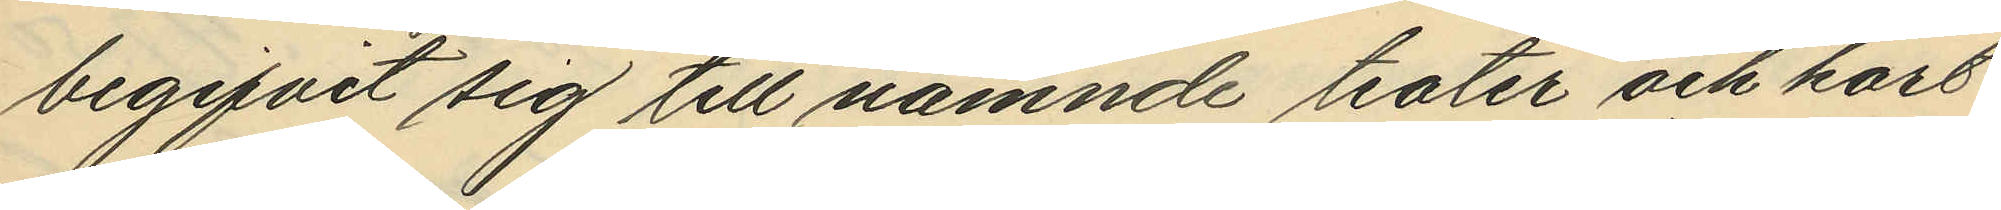begifvit sig till nämnde teater och kort
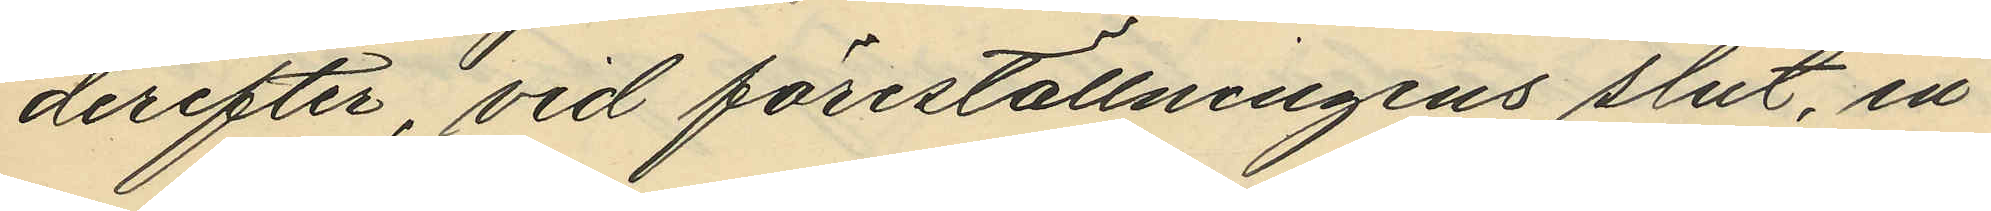derefter, vid föreställningens slut, en
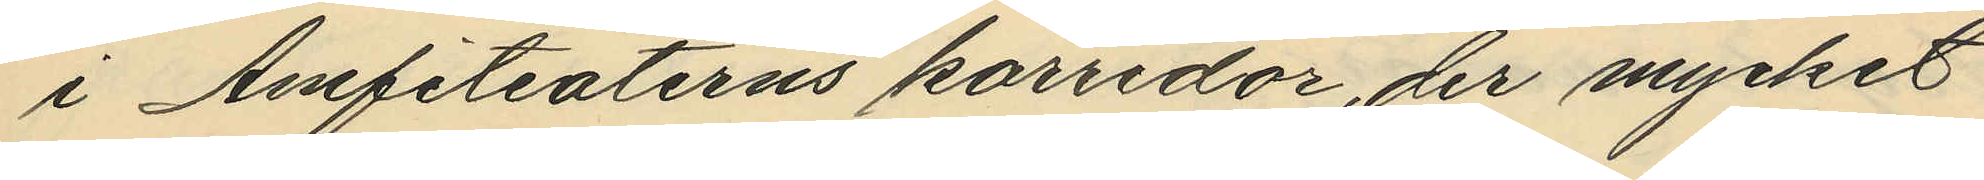i Amfiteaterns korridor, der mycket
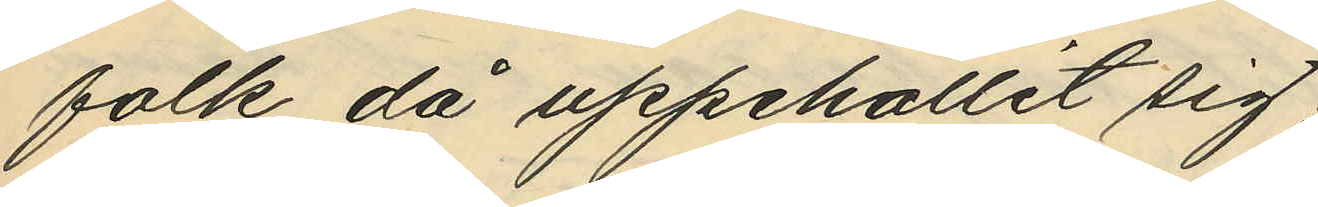folk då uppehållit sig;
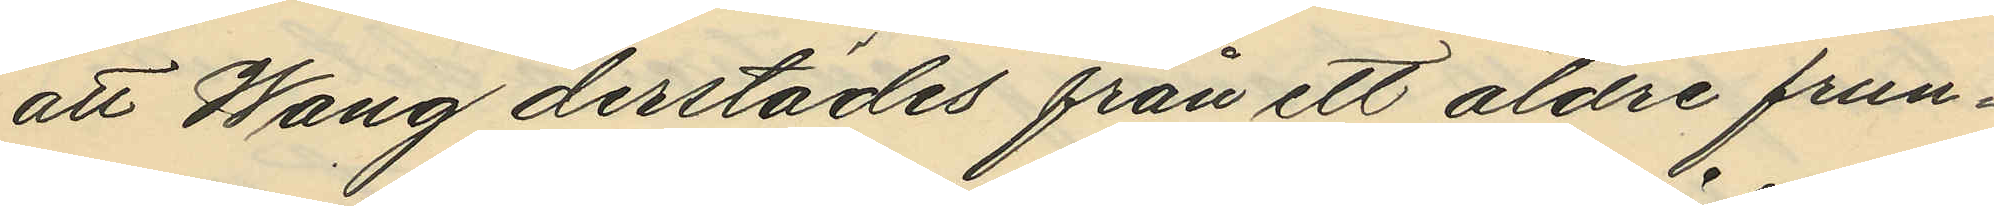att Wang derstädes från ett äldre frun¬
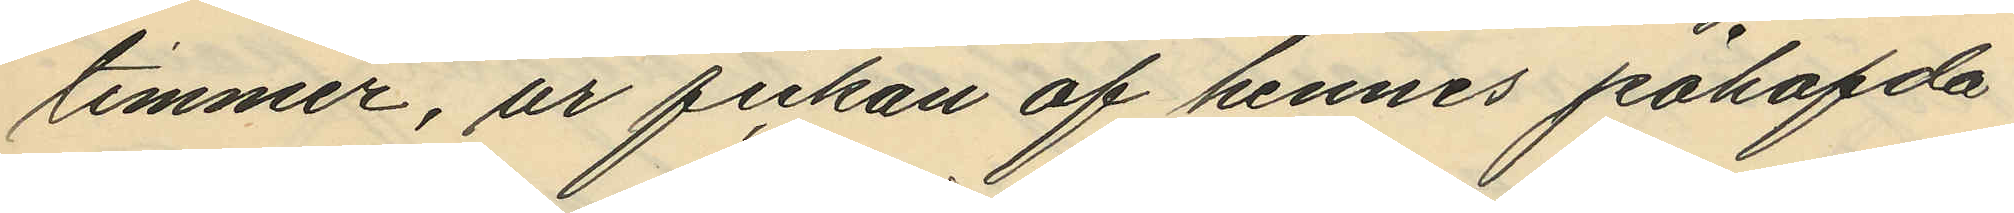timmer, ur fickan af hennes påhafda
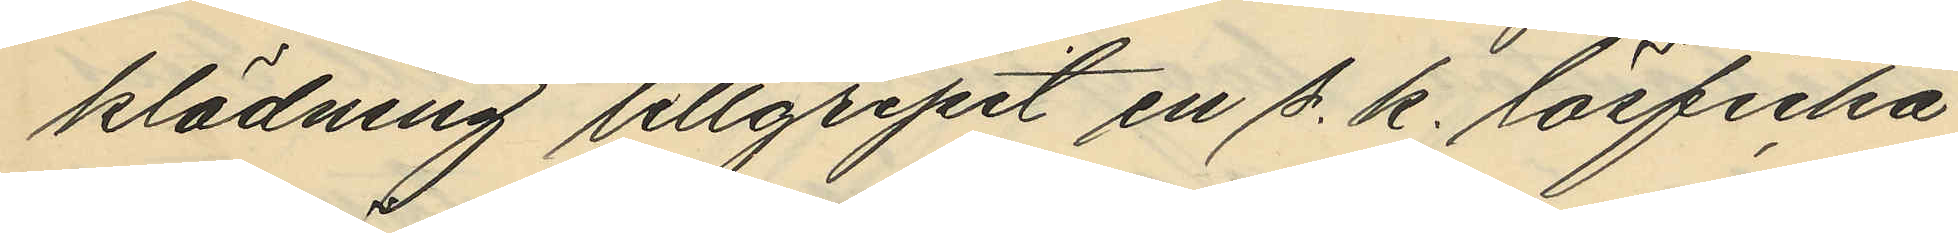klädning tillgripit en s. k. lösficka
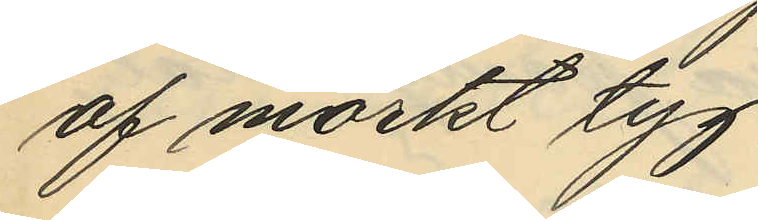af mörkt tyg;
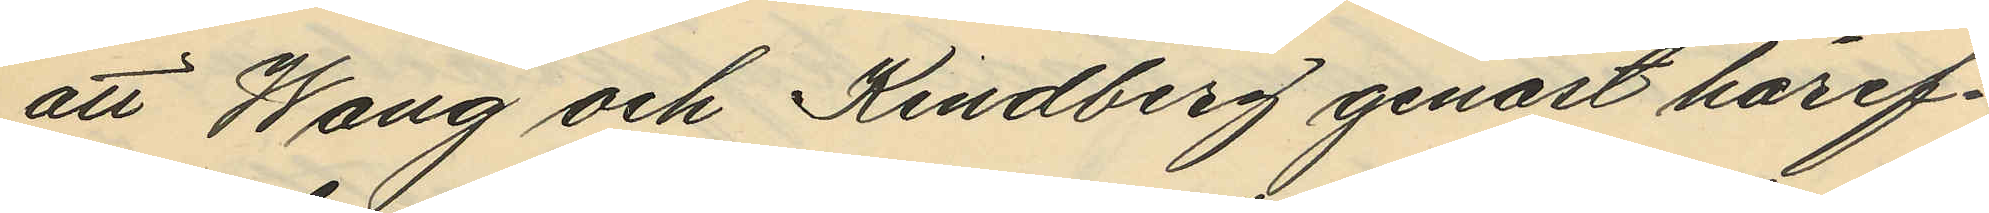att Wang och Kindberg genast häref¬
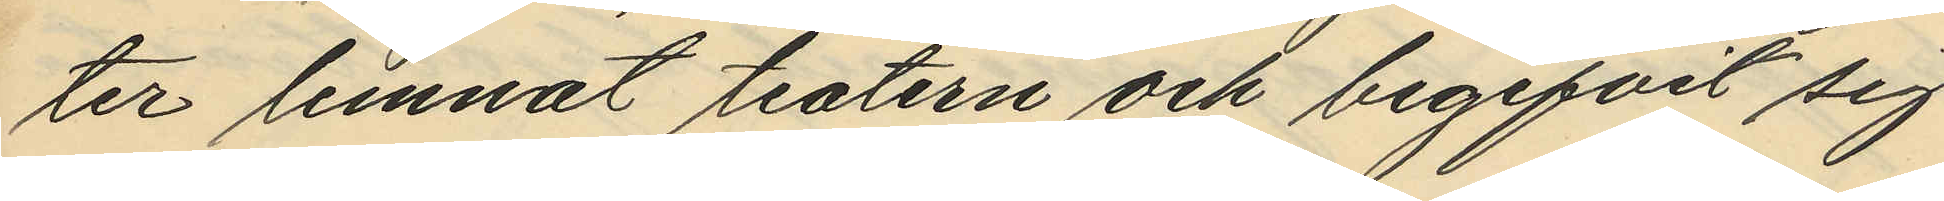ter lemnat teatern och begifvit sig
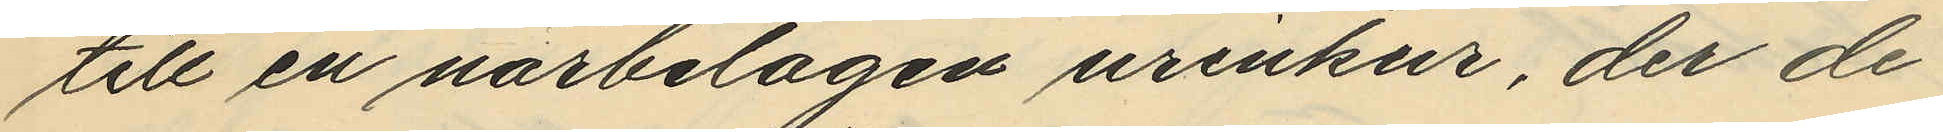till en närbelägen urinkur, der de
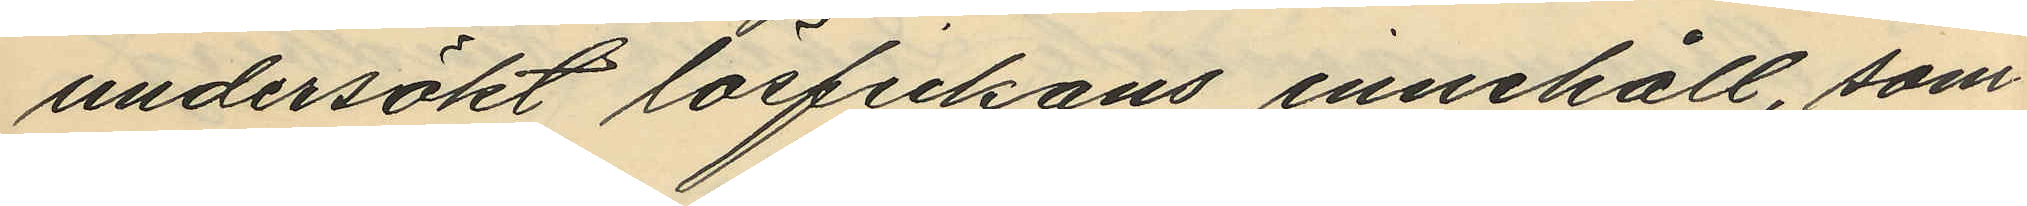undersökt lösfickans innehåll, som
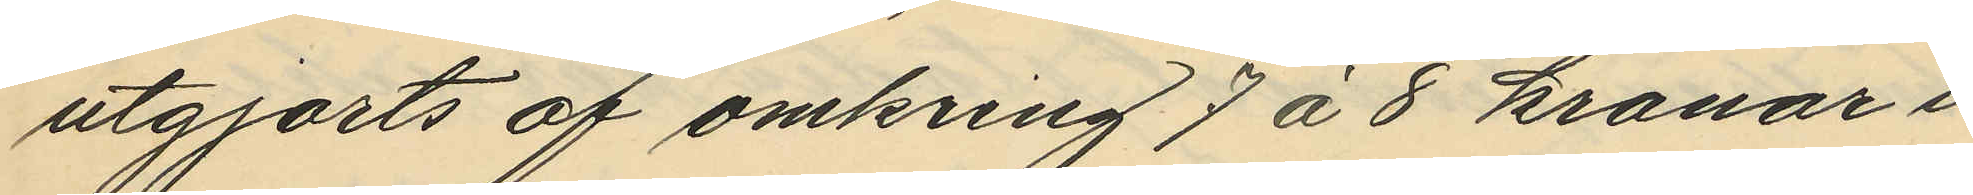utgjorts af omkring 7 á 8 kronor i
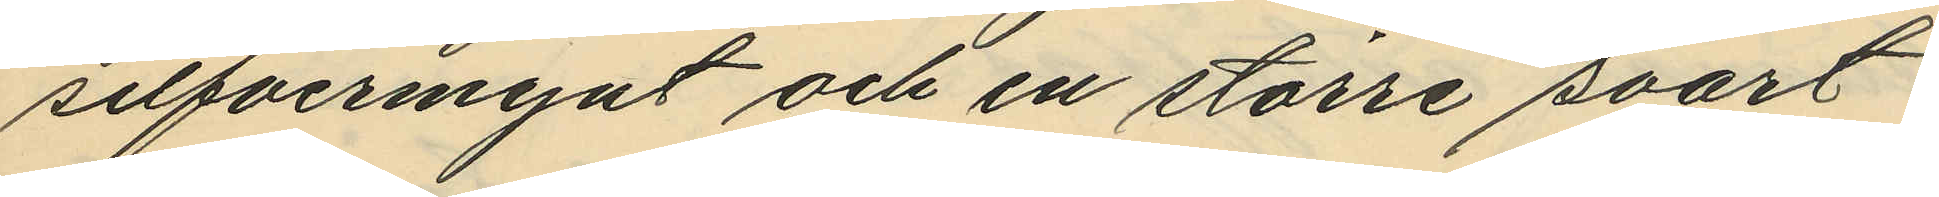silfvermynt och en större svart
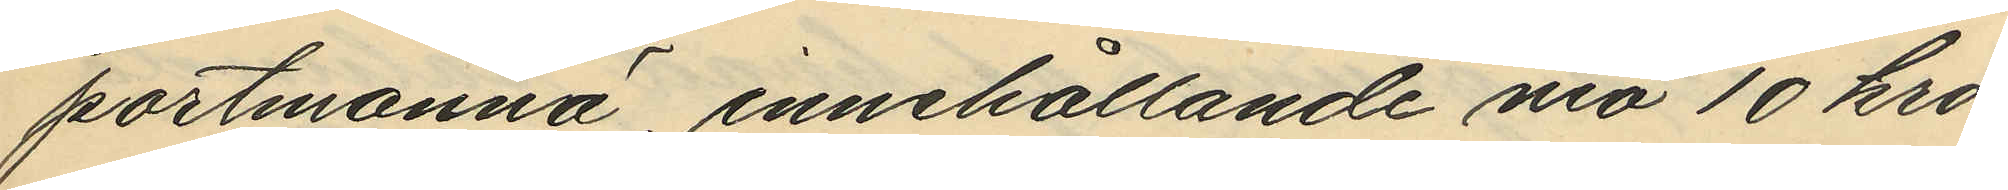portmonnä, innehållande nio 10 kro¬
